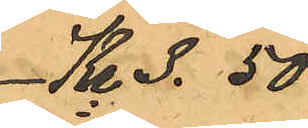Kr 3.50.
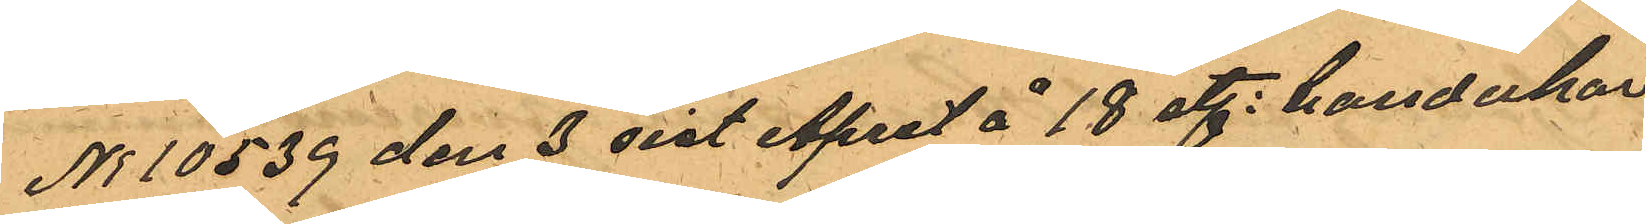No 10539 den 3 sist April å 18 st. handukar
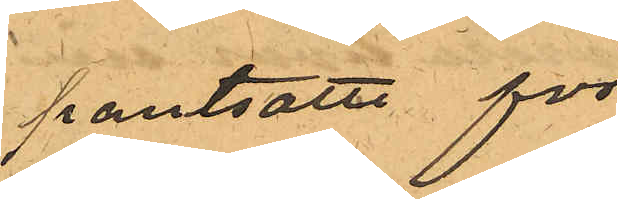pantsatte för
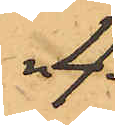" 4.
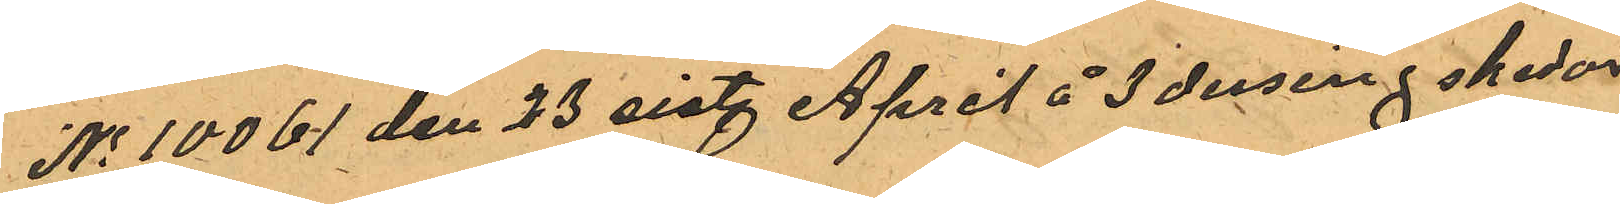No 10061 den 23 sist. April å 3 dusing skedor
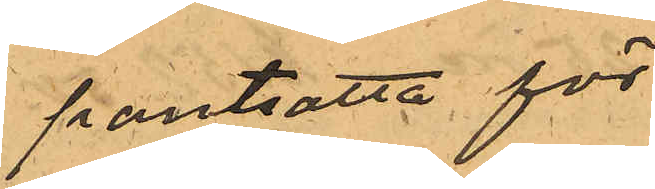pantsatta för
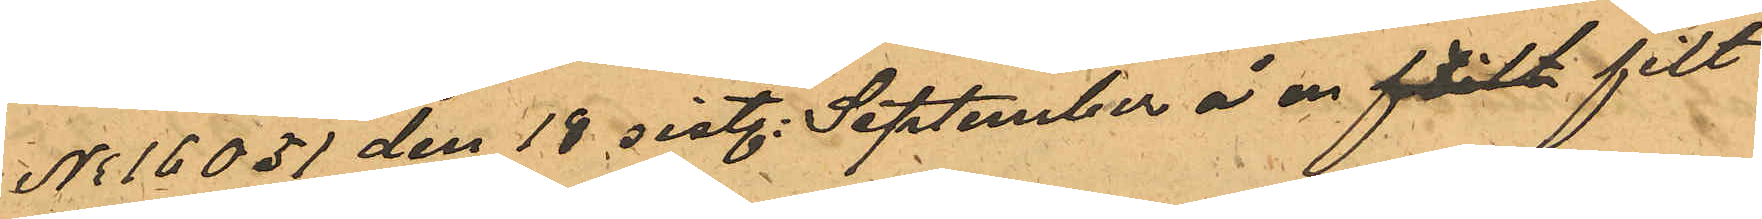No 16051 den 19 sistl. September å en flilt filt
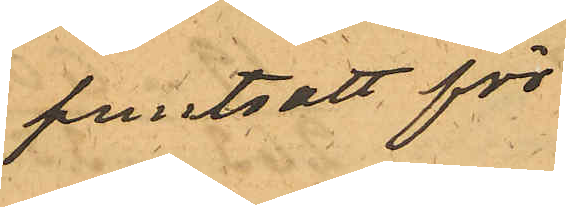pantsatt för
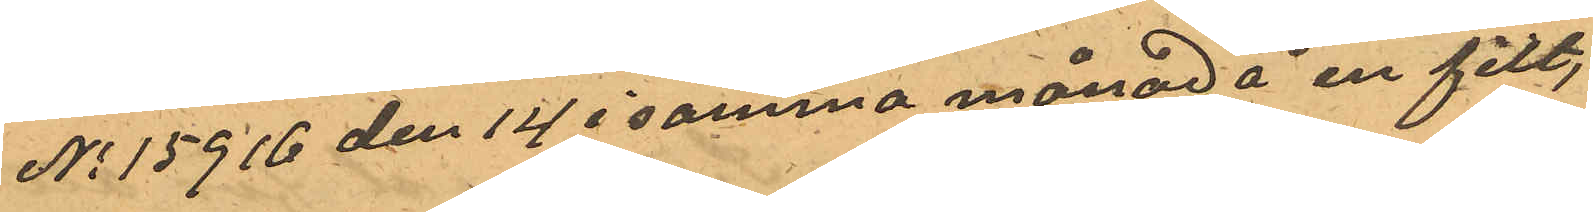No 15916 den 14 i samma månad å en filt,
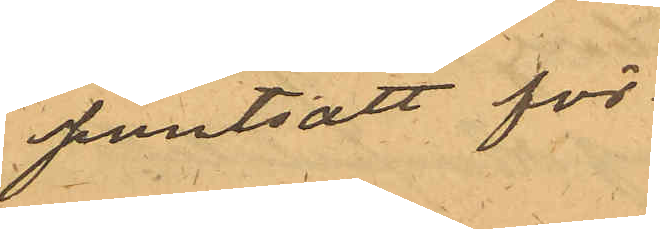pantsatt för
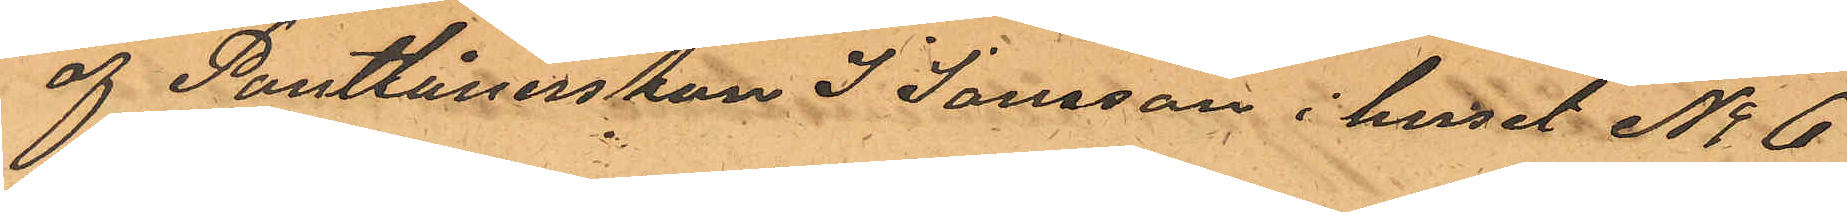af Pantlånerskan J. Jonsson i huset No 6
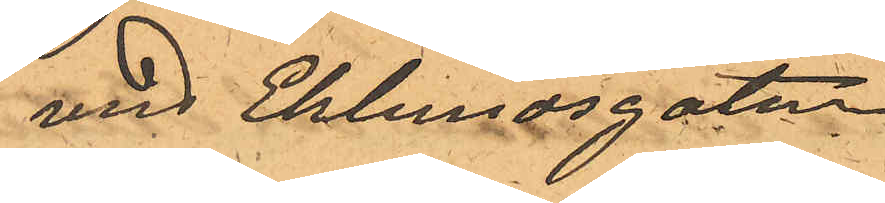vid Eklundsgatan
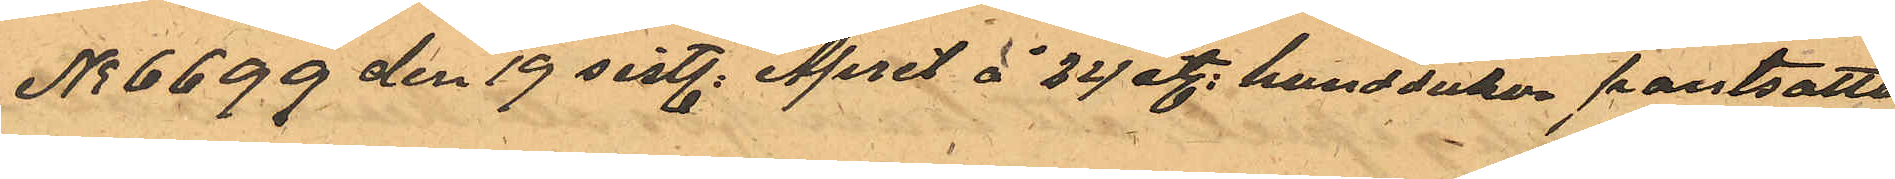No 6699 den 19 sistl. April å 24 st. handdukar pantsatte
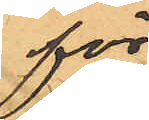för
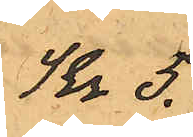Kr 5
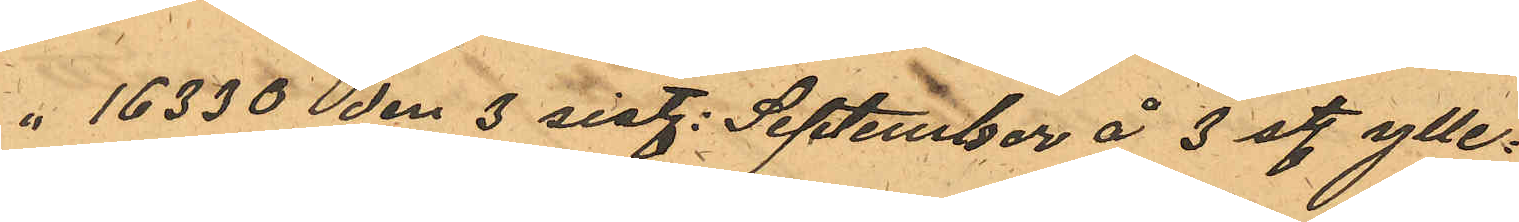" 16330 en 3 sist. September å 3 st. ylle¬
